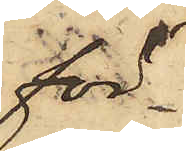för¬
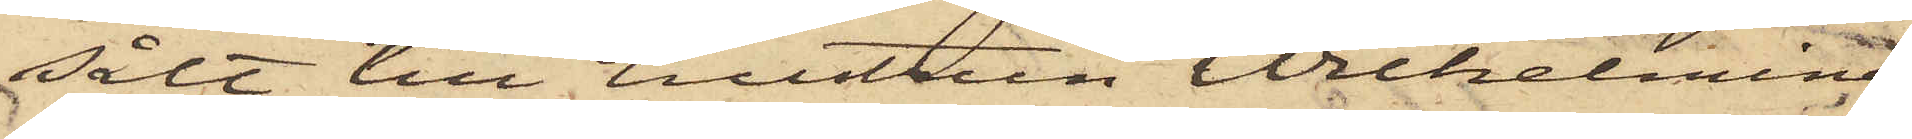sålt till hustrun Wilhelmina
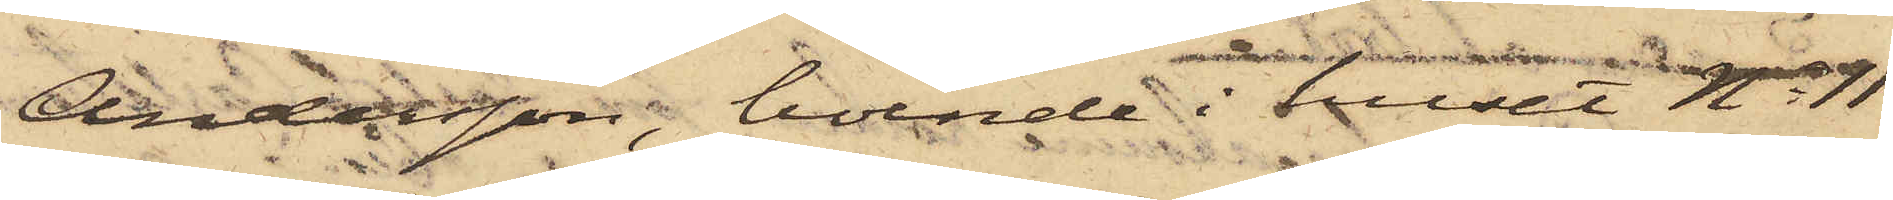Andersson, boende i huset No 11
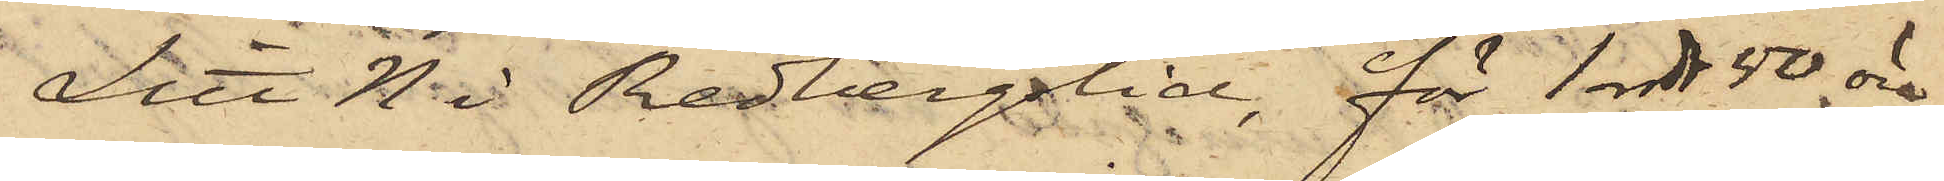Litt N i 3 Redbergslid, för 1 rdr 50 öre,
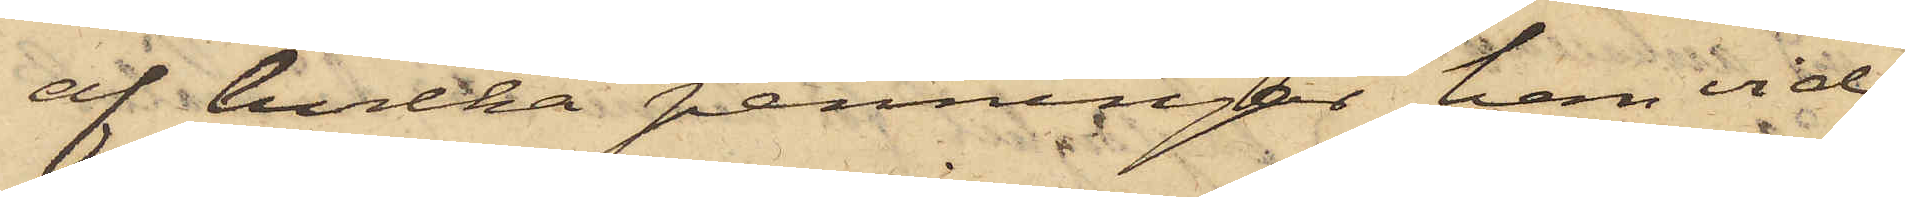af hvilka penningar han vid
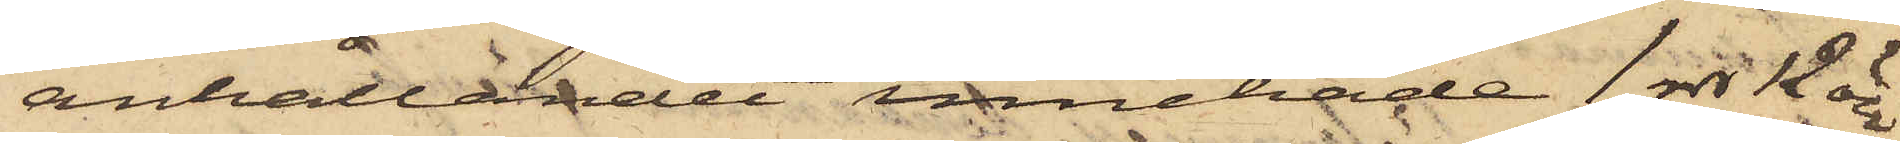anhållandet innehade 1 rdr 12 öre.
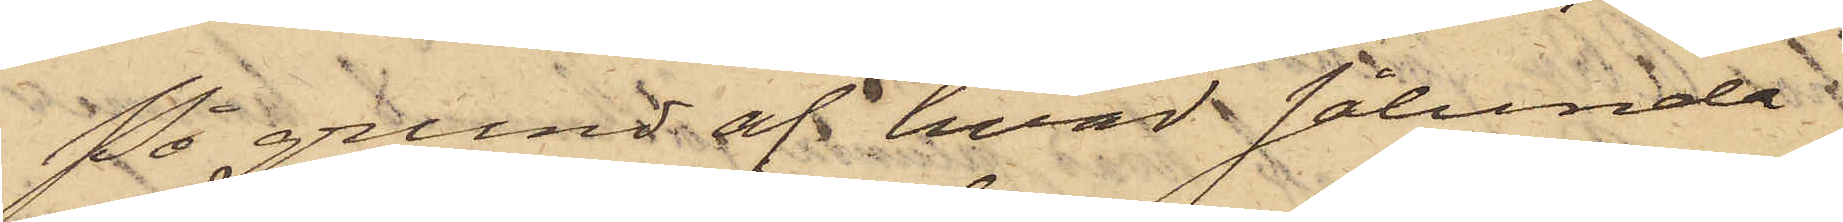På grund af hvad sålunda
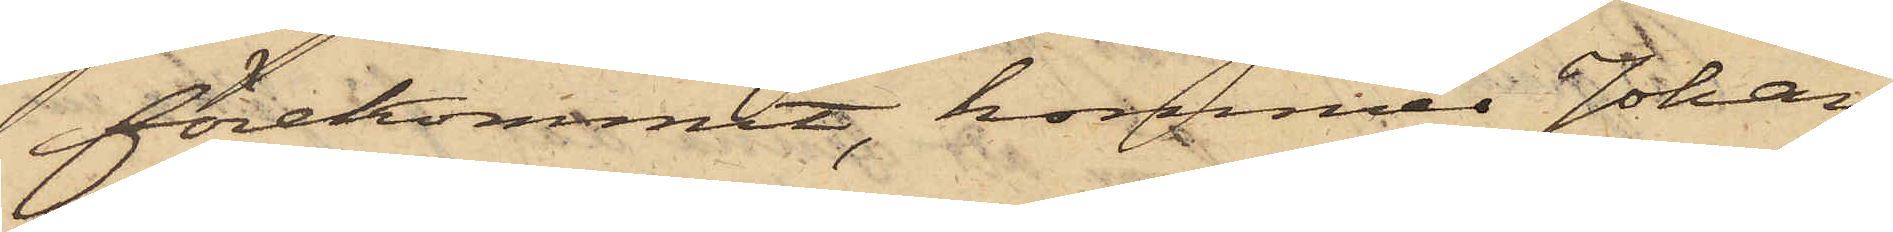förekommit, kommer Johan¬
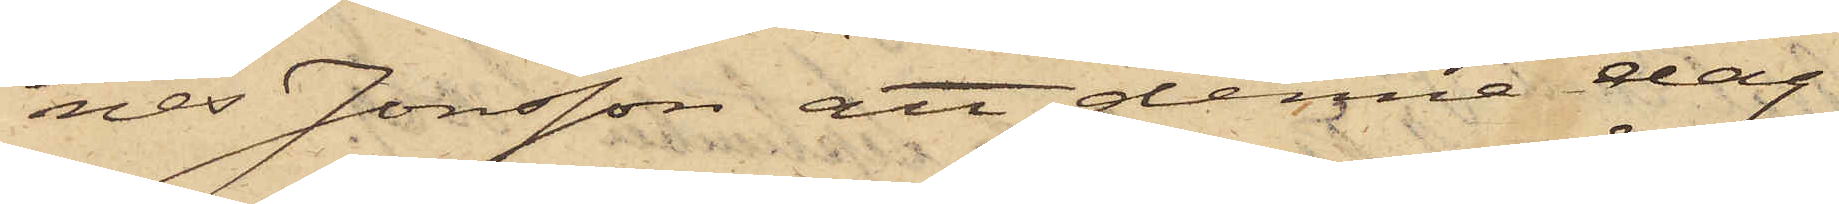nes Jonsson att denna dag
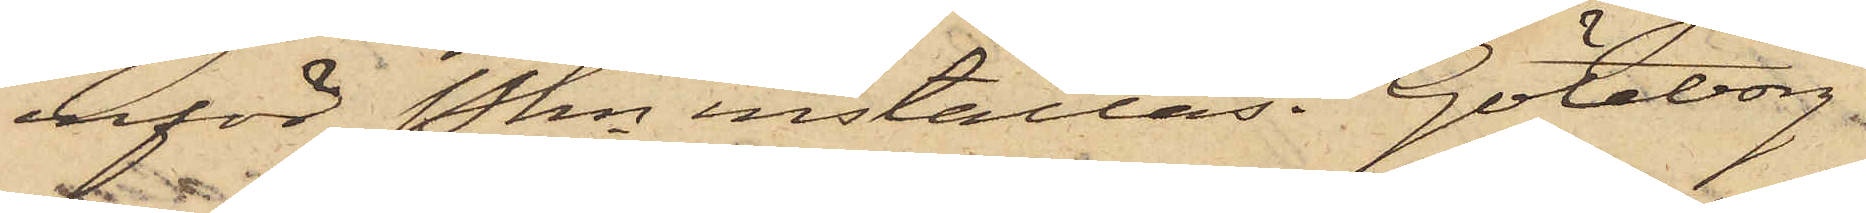inför Pkn inställas. Göteborg.
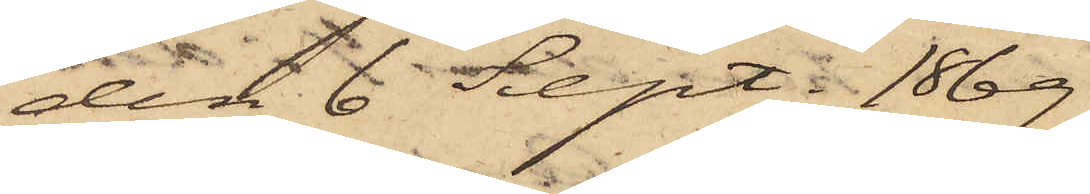den 6 Sept. 1869.
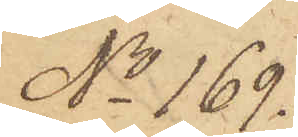No 169.
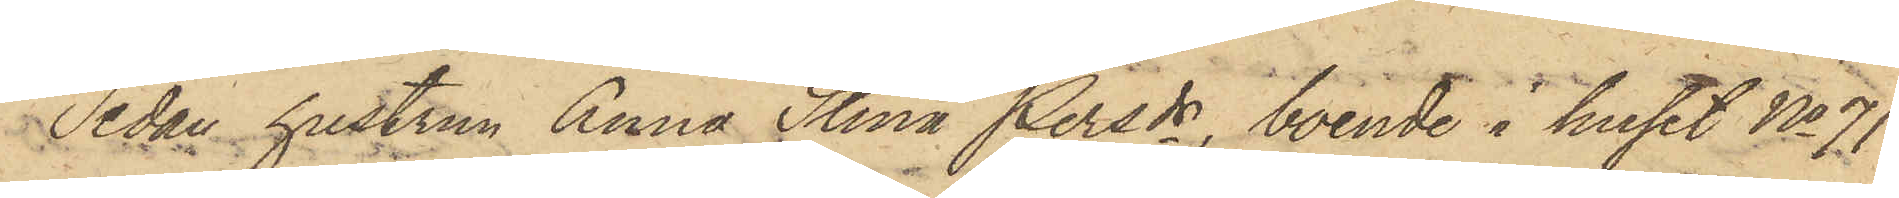Sedan hustrun Anna Stina Persdr, boende i huset No 71
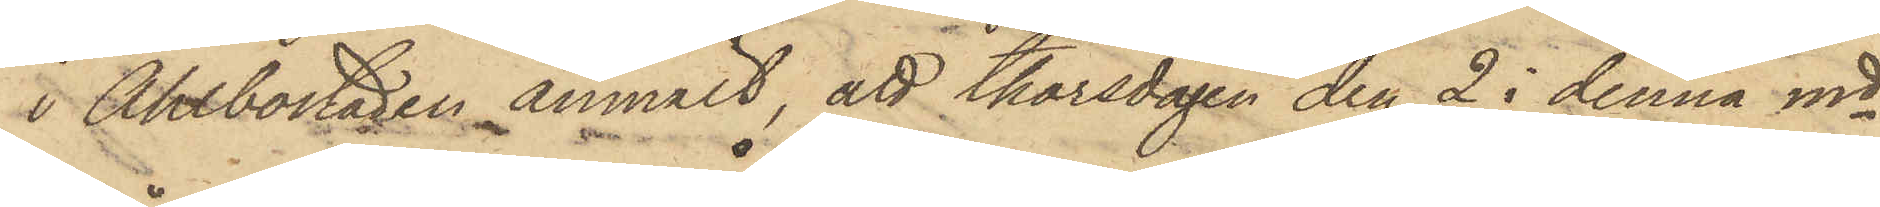i Ahlbostaden anmält, att thorsdagen den 2 i denna md
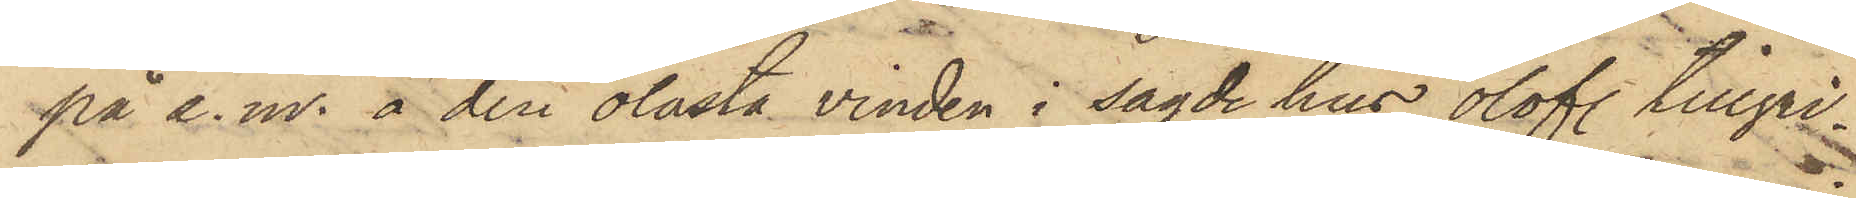på e. m. å den olåsta vinden i sagde hus olofl. tillgri¬
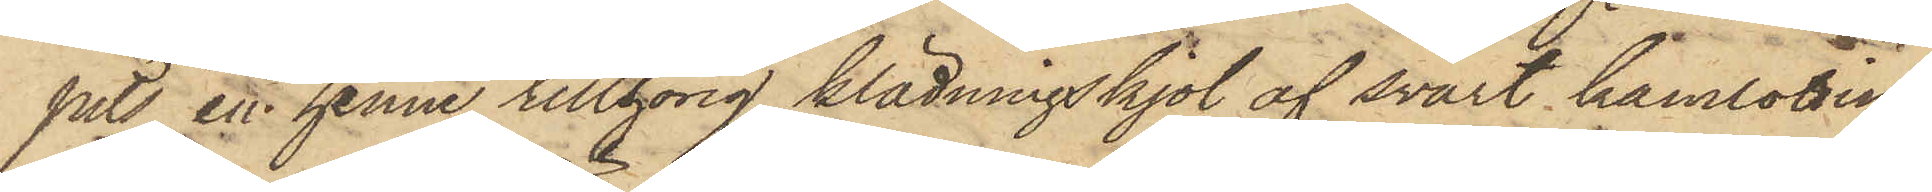pits en henne tillhörig klädningskjol af svart kamlottin,
